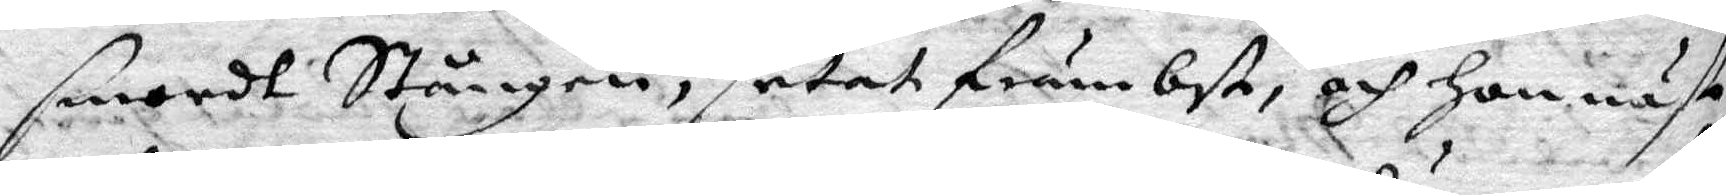smordt Stången, setat främbst och hon näst
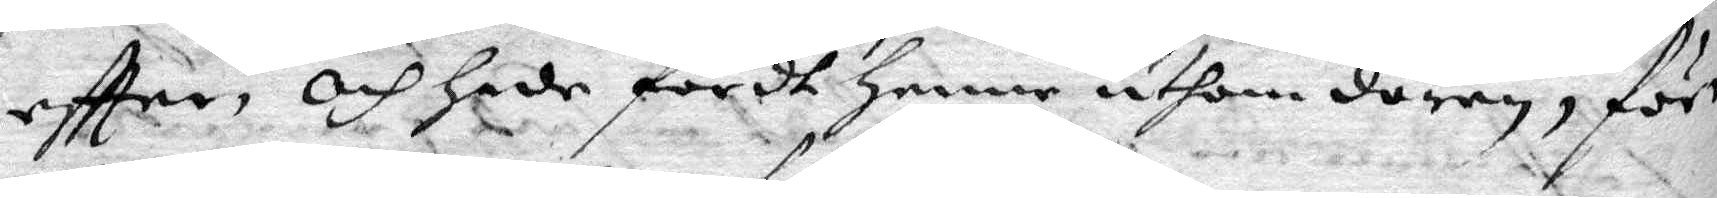eftter och hade fördt henne uthom dören, förr
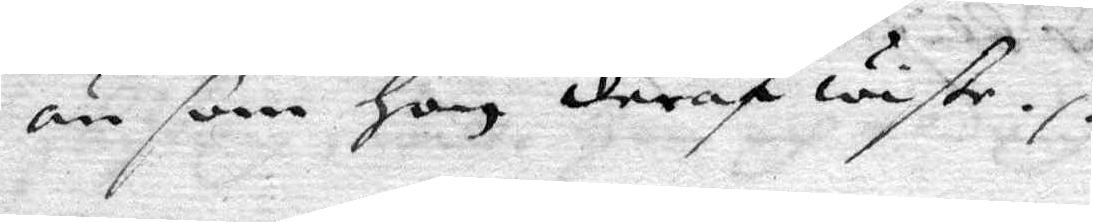än som hon deraf wiste.
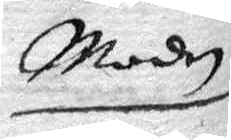Modren
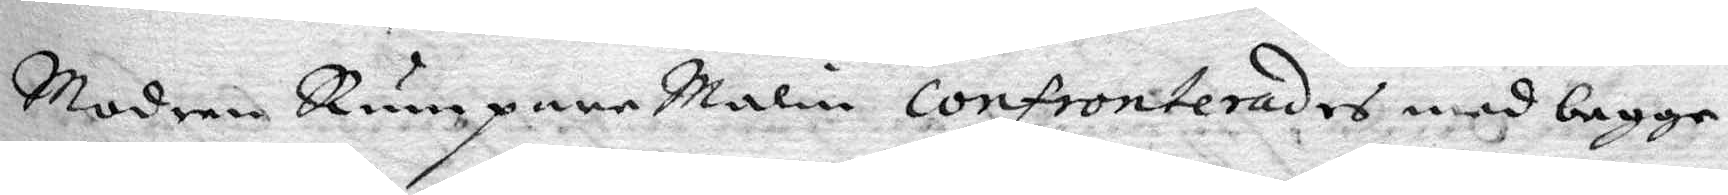Modren Rumpare malin confronterades med begge
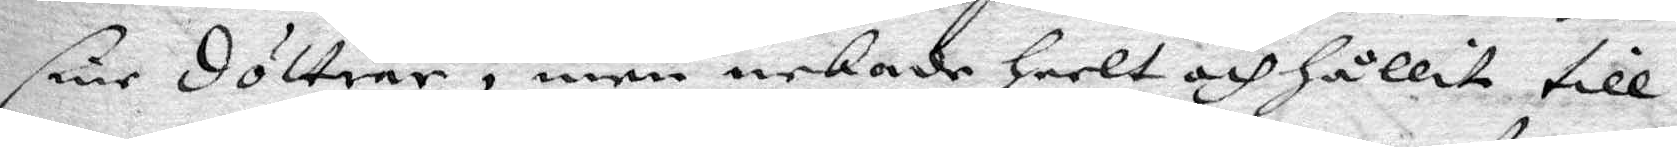sine döttrar, men nekade heelt och hållit till
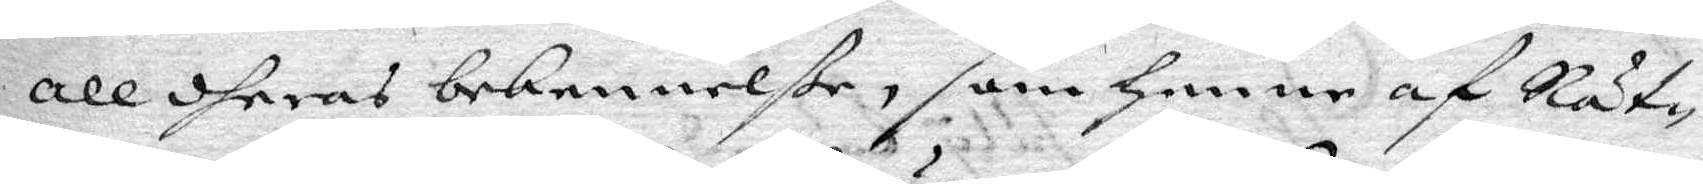all dheras bekennelße, som henne af Rät¬
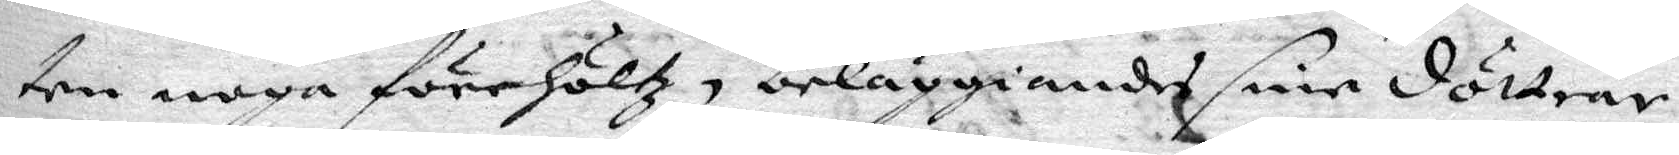ten noga förehöltz, beläggiandes sine döttrar
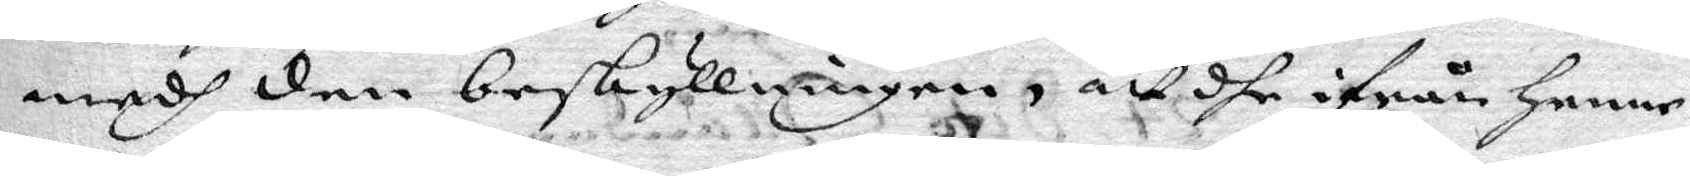medh den beskyllningen, att dhe ifrån henne
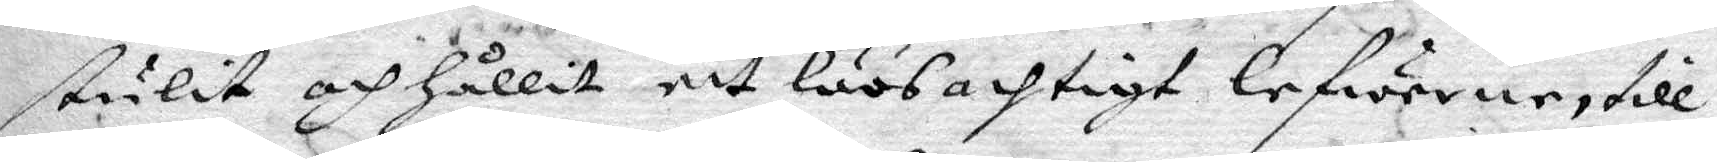stulit och hållit ett löösachtigt lefwerne, till
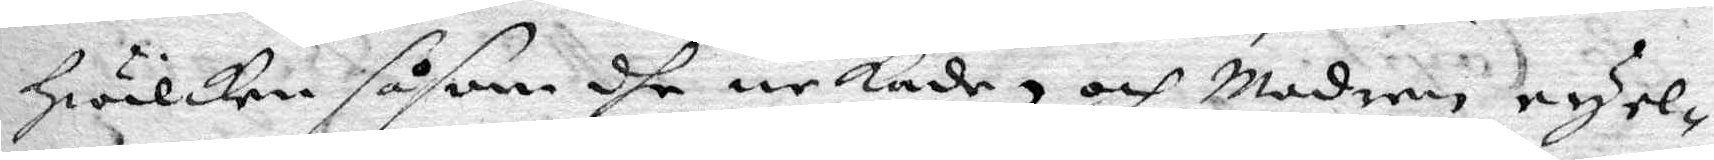hwilken såsom dhe nekade, och Modren eu el¬
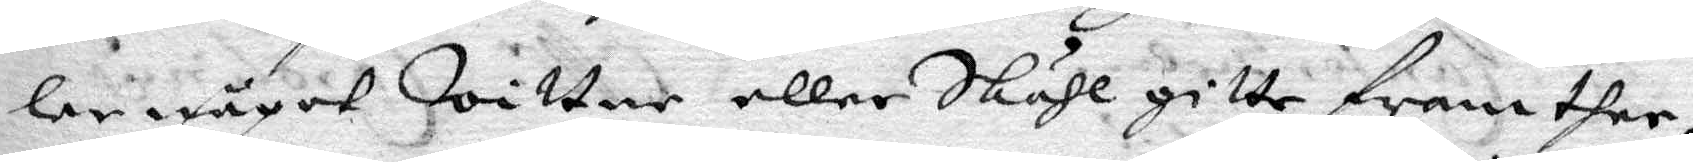ler något Wittne eller Skähl gitte fram ther
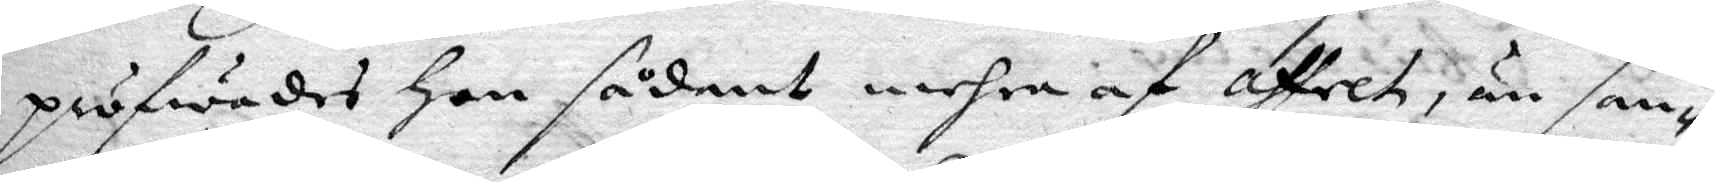pröfwades hon sådant mehra af affech, än san¬
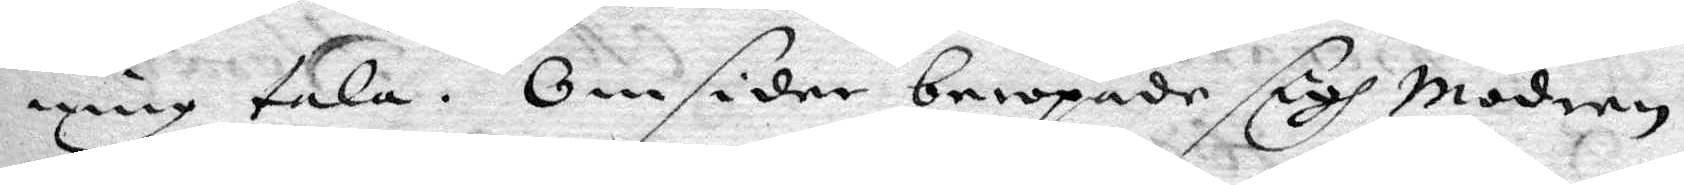ning tala. Omsider beropade sigh Modren
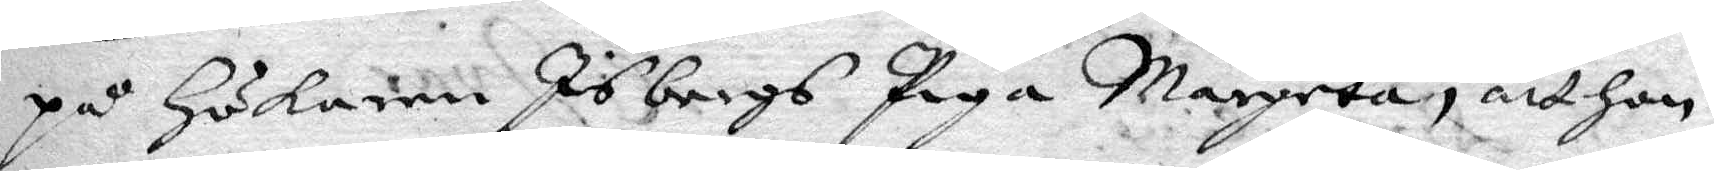på Hökaren Isbergs Piga Margeta, att hon
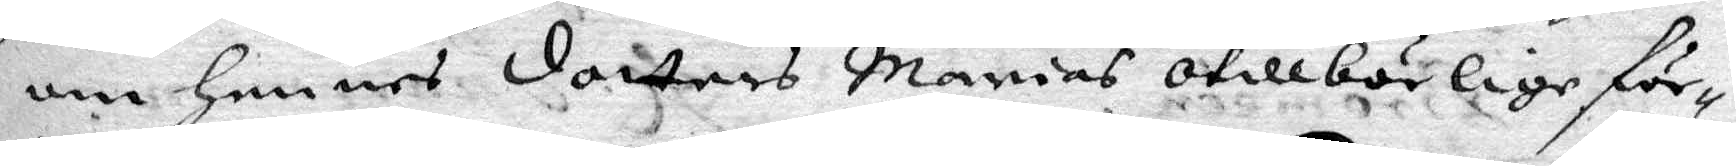om hennes dotters Marias otillbörlige för¬
